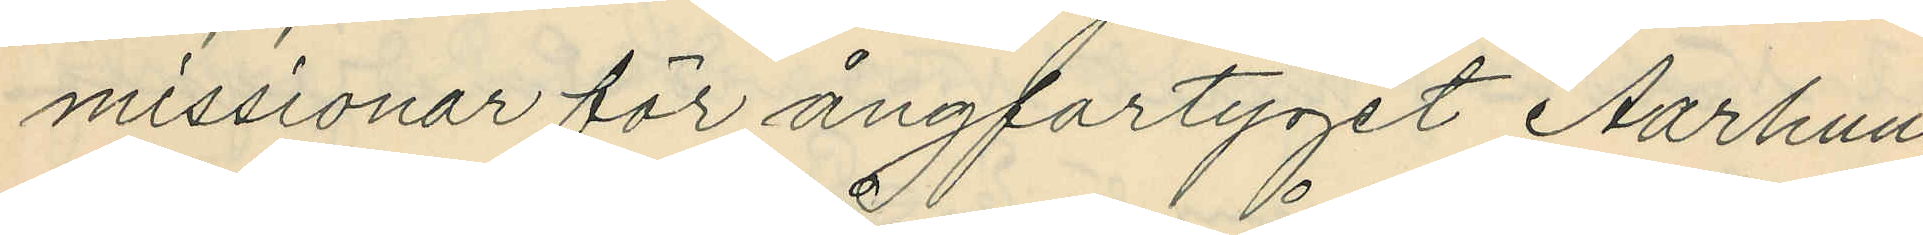missionar för ångfartyget Aarhuus
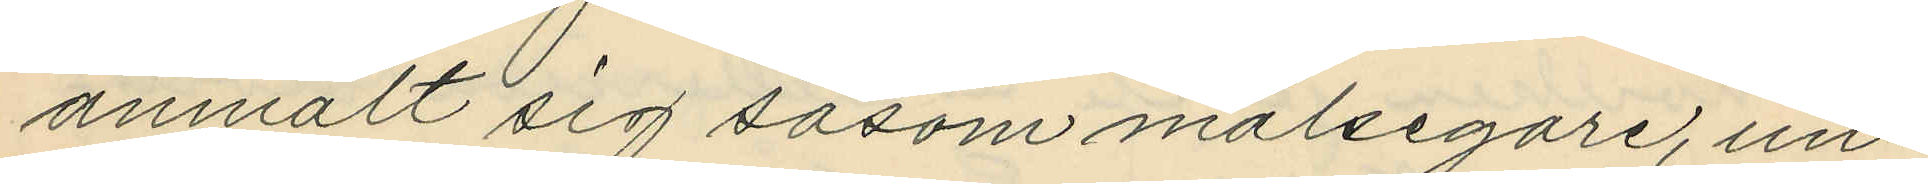anmält sig såsom målsegare, un¬
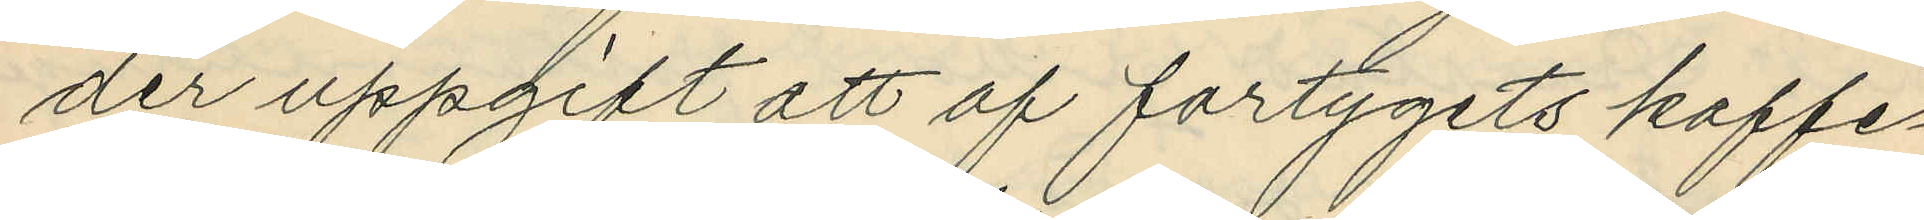der uppgift att af fartygets kaffe¬
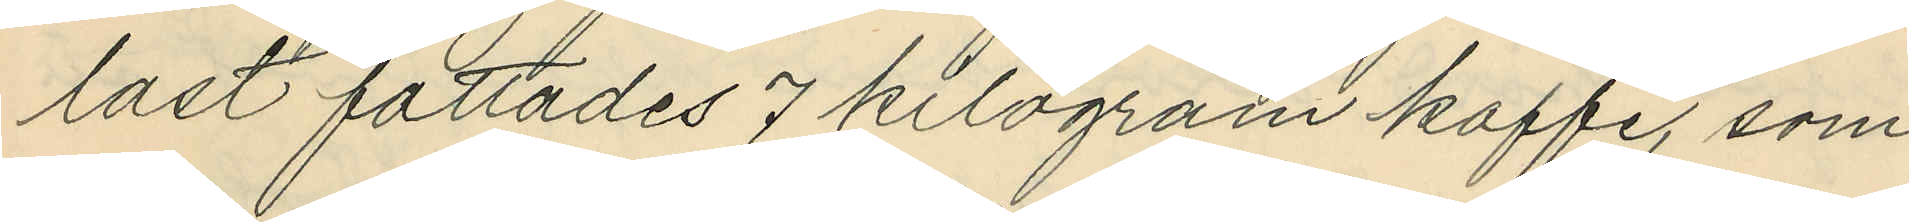last fattades 7 kilogram kaffe, som
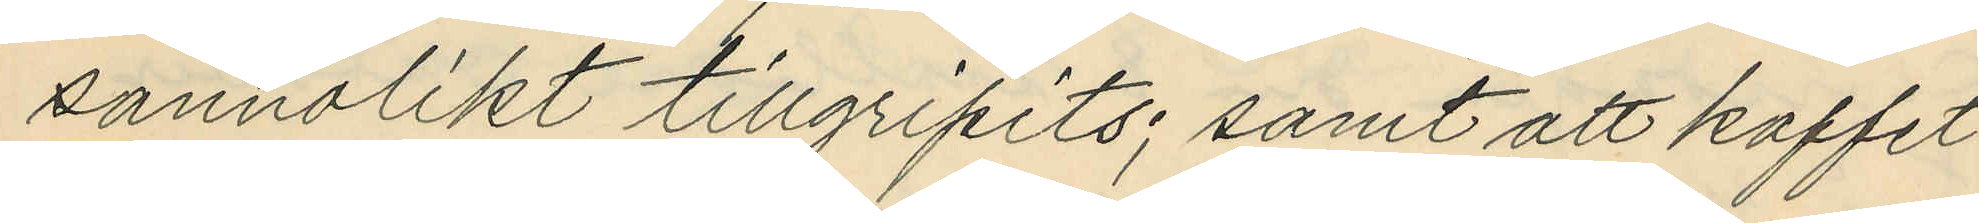sannolikt tillgripits; samt att kaffet
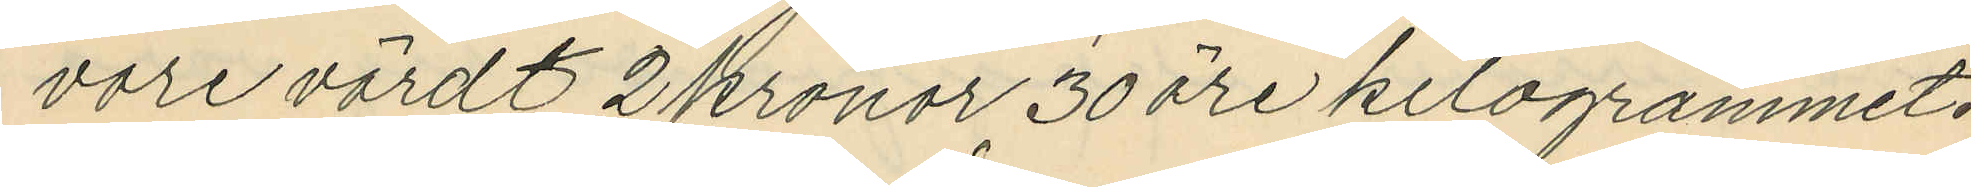vore värdt 2 kronor 30 öre kilogrammet.
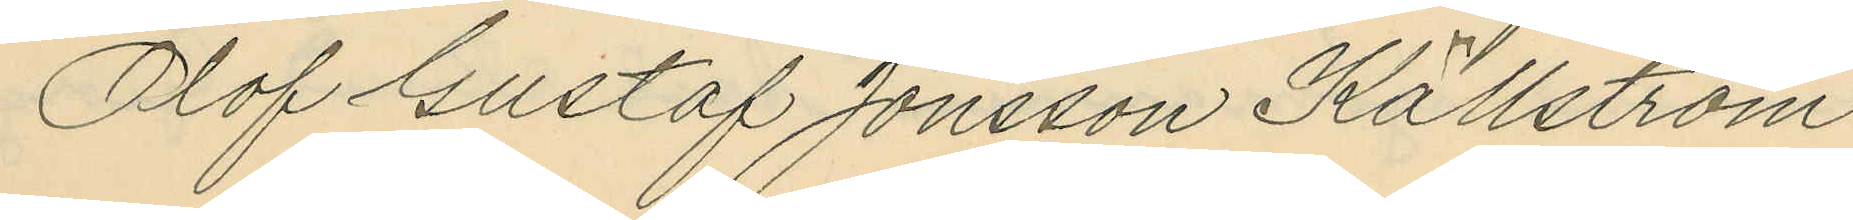Olof Gustaf Jonsson Källström
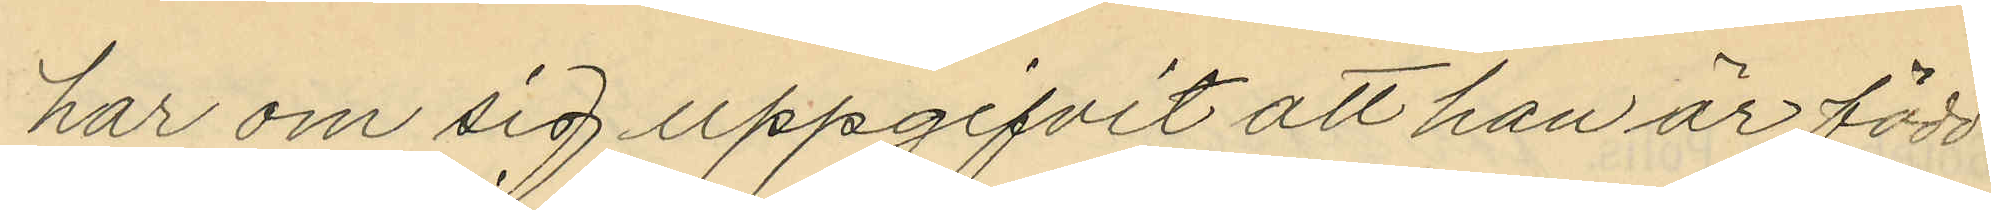har om sig uppgifvit att han är född
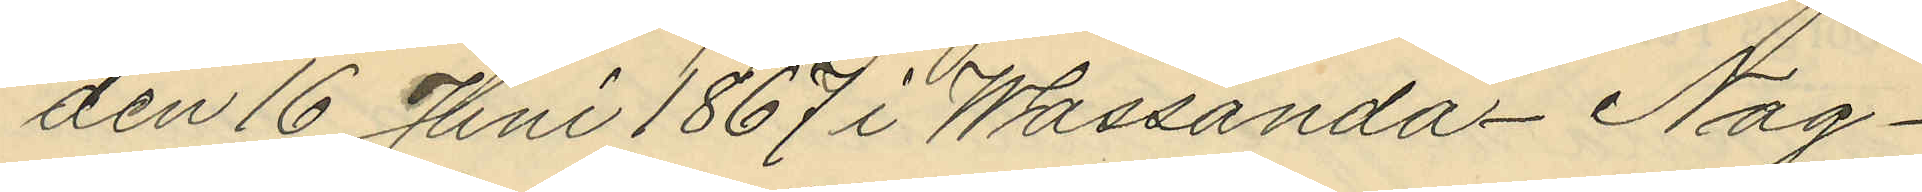den 16 Juni 1867 i Wassända Nag¬
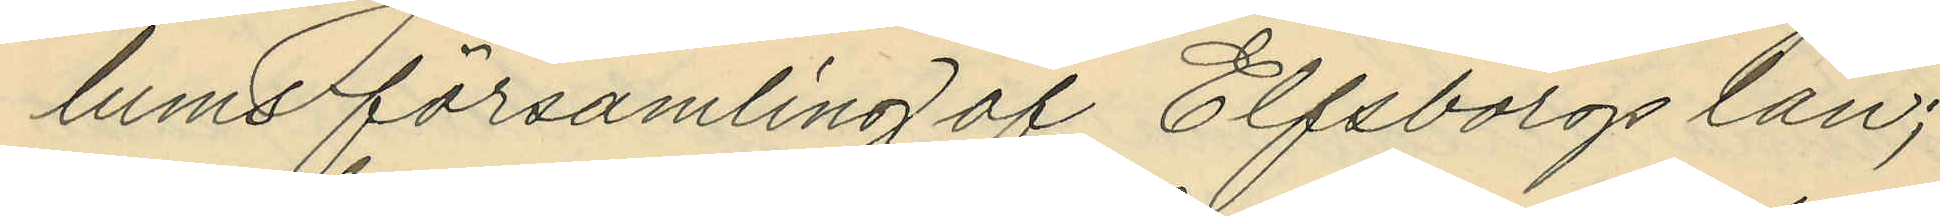lums församling af Elfsborgs län;
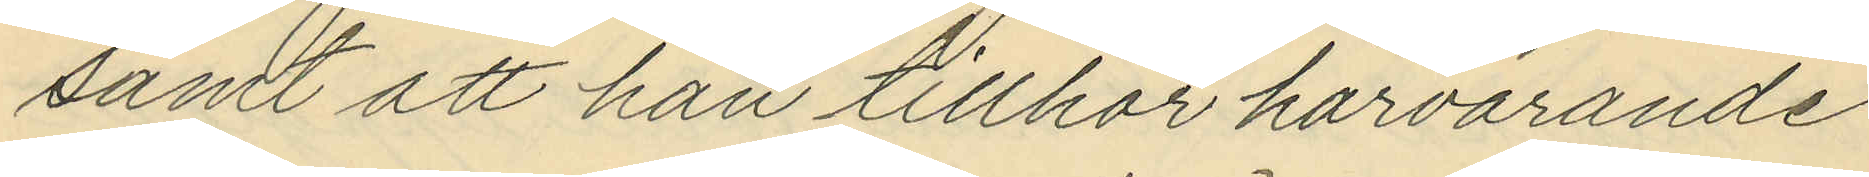samt att han tillhör härvarande
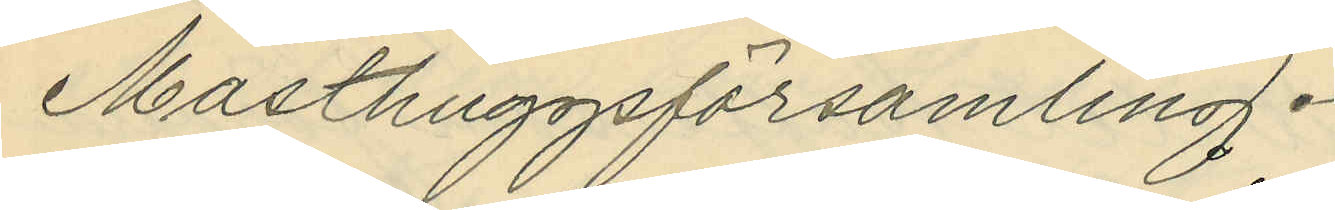Masthuggsförsamling.
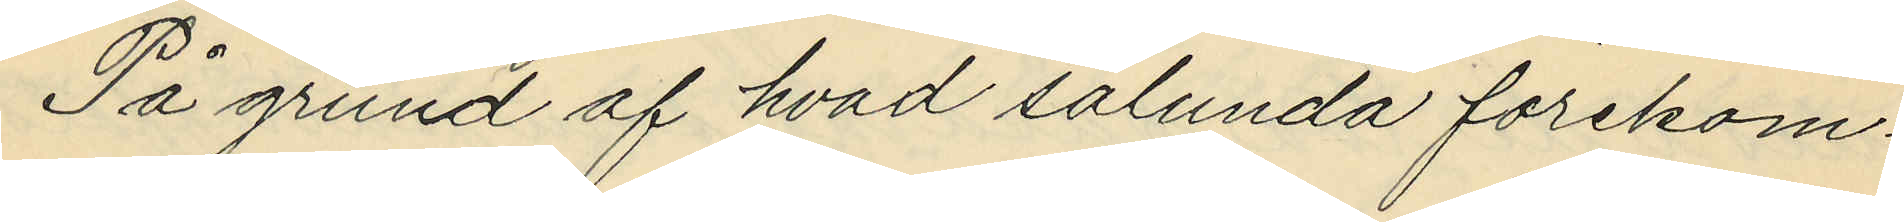På grund af hvad sålunda förekom¬
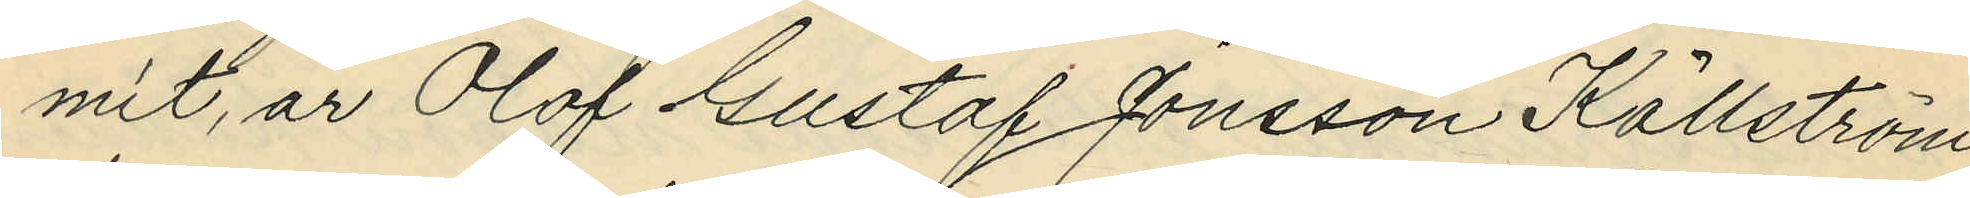mit, är Olof Gustaf Jonsson Källström
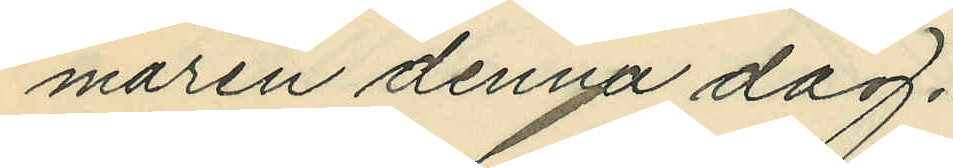maren denna dag.
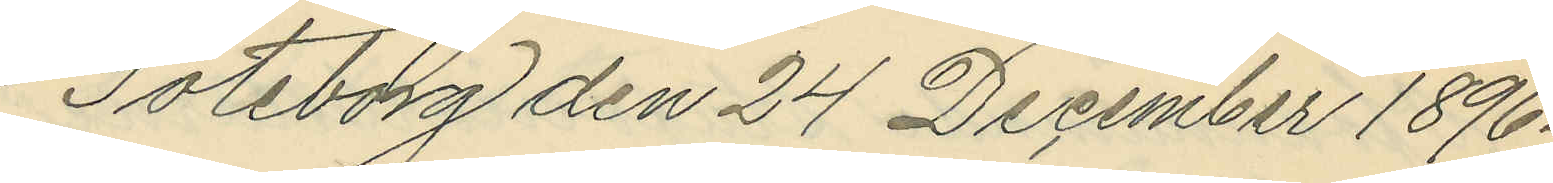Göteborg den 24 December 1896.
